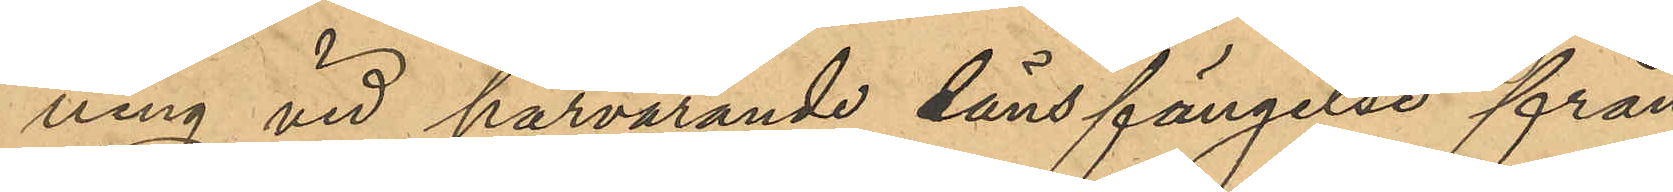ning vid härvarande länsfängelse från
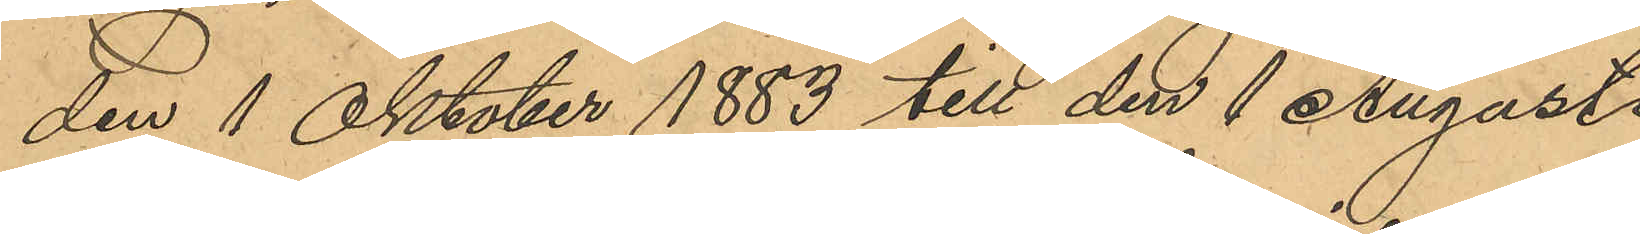den 1 Oktober 1883 till den 1 Augusti
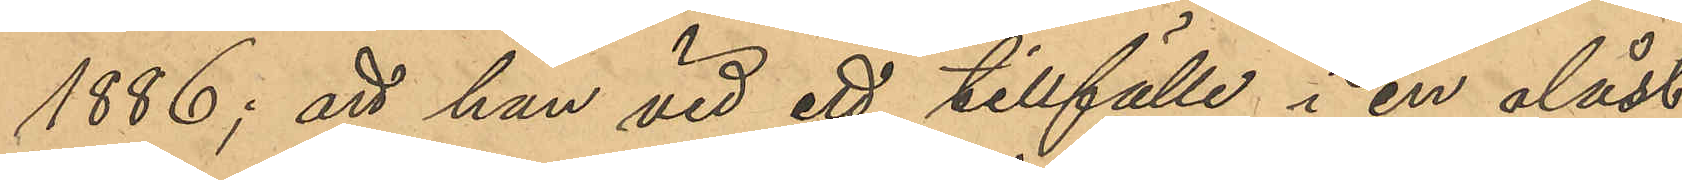1886; att han vid ett tillfälle i en olåst
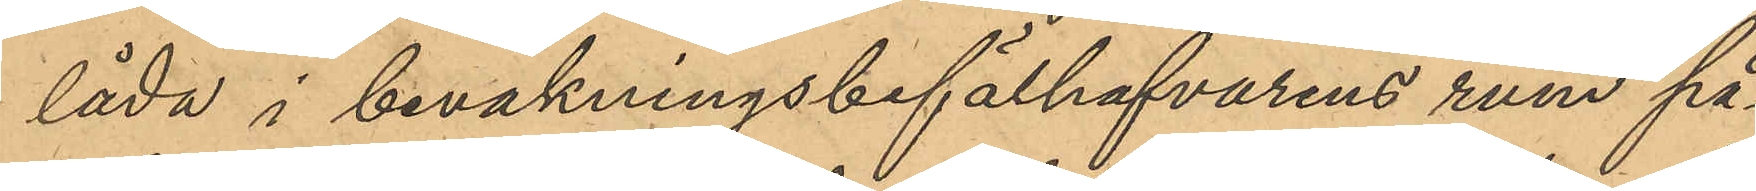låda i bevakningsbefälhafvarens rum på¬
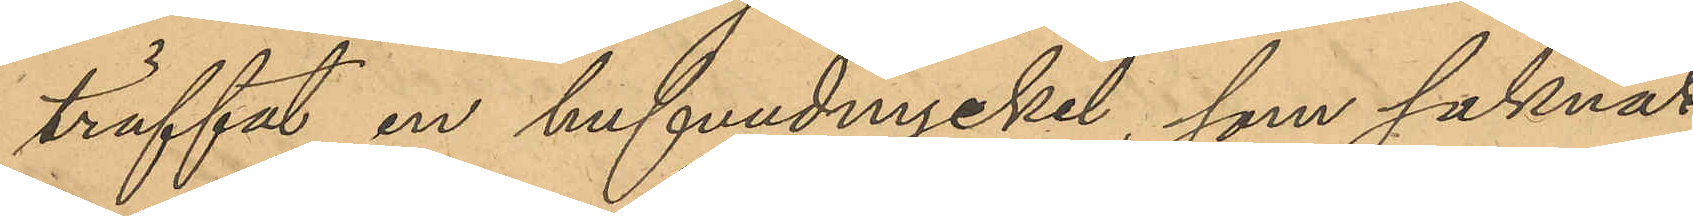träffat en huvudnyckel, som saknat
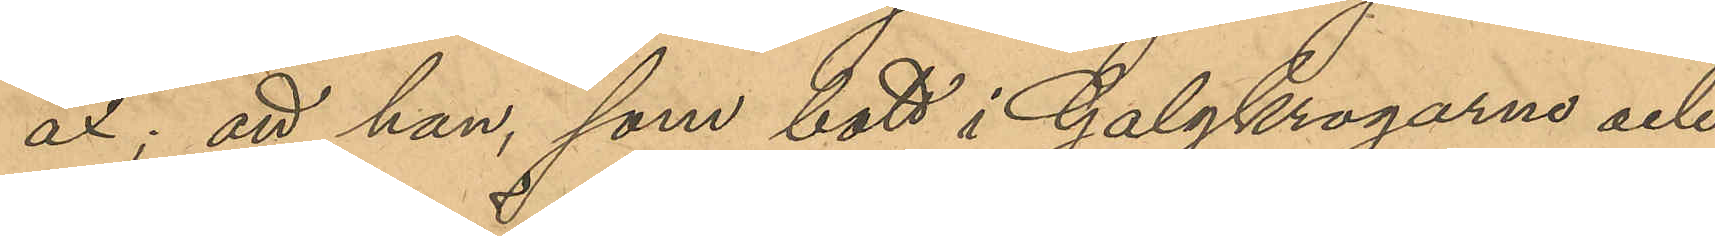ax; att han, som bott i Galgkrogarne och
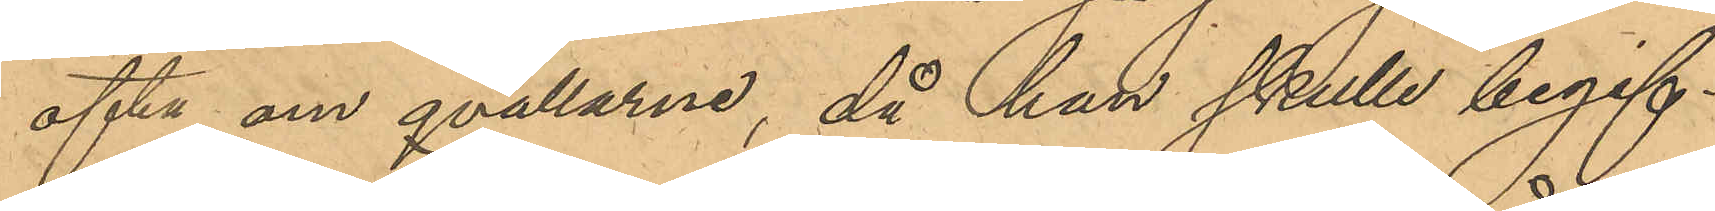ofta om qvällarne, då han skulle begif¬
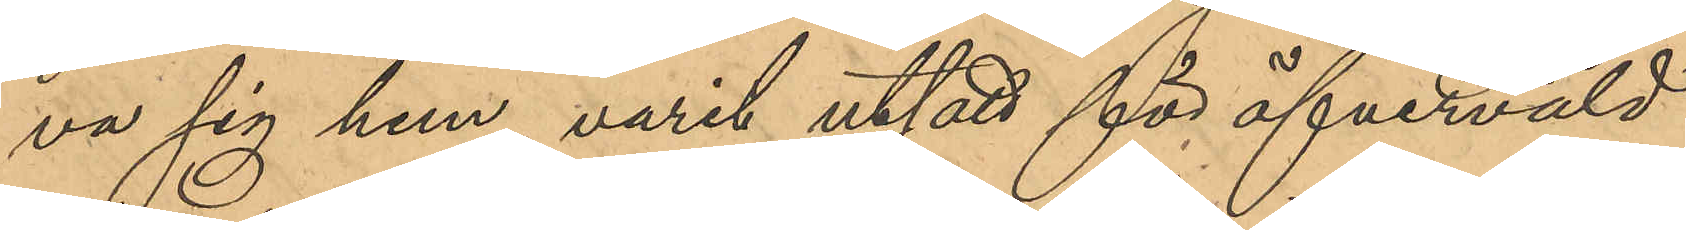va sig hem, varit utsatt för öfvervåld
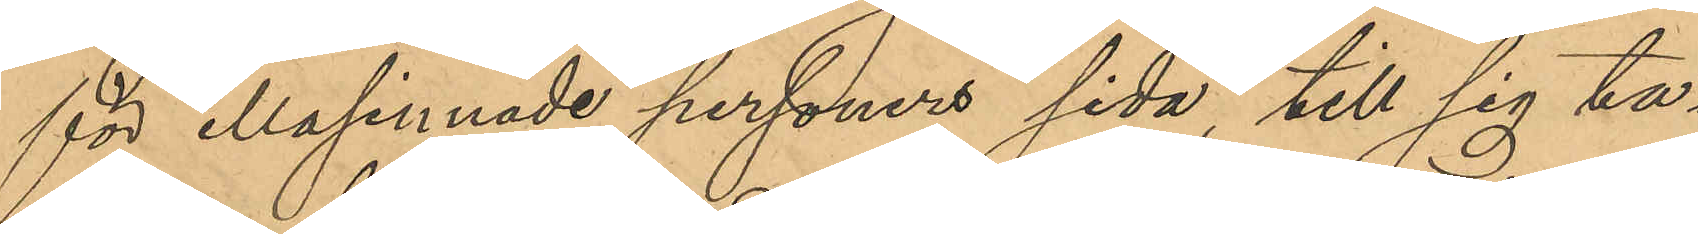för illasinnade personers sida, till sig ta¬
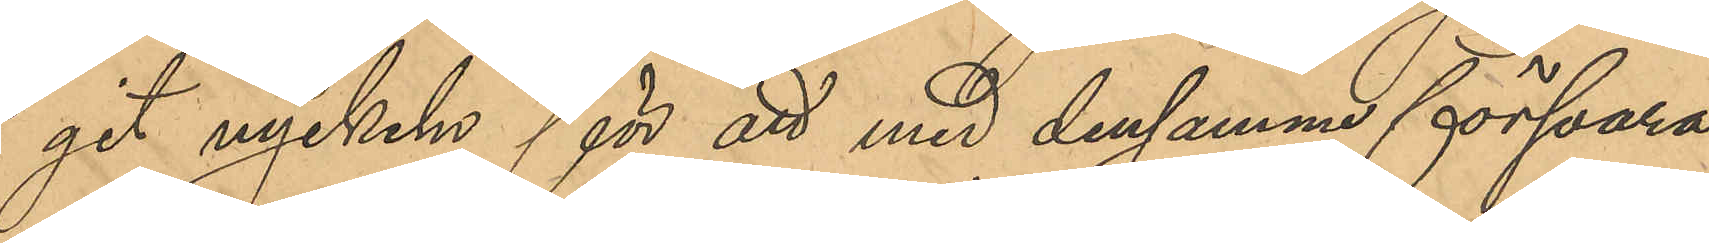git nyckeln för att med densamme försvara
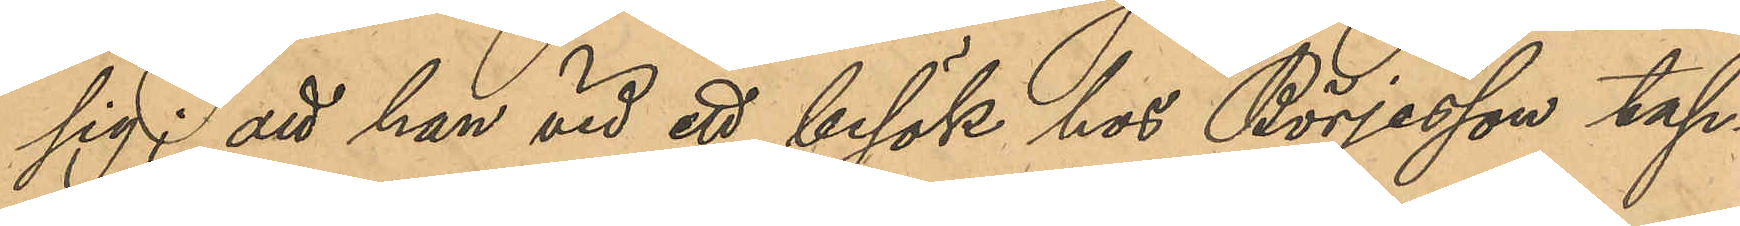sig; att han vid ett besök hos Börjesson tap¬
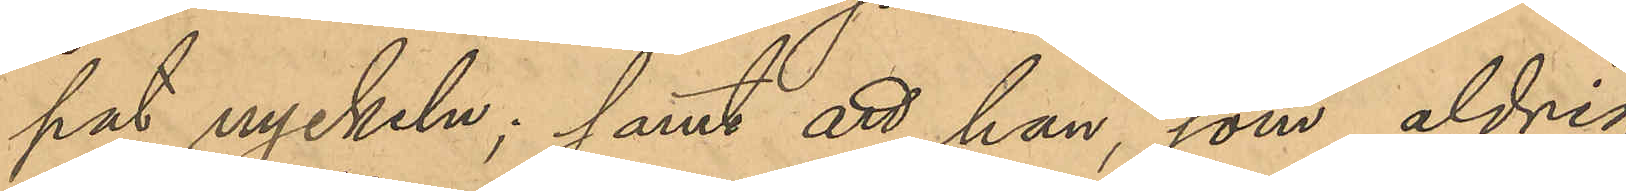pat nyckeln; samt att han, som aldrig
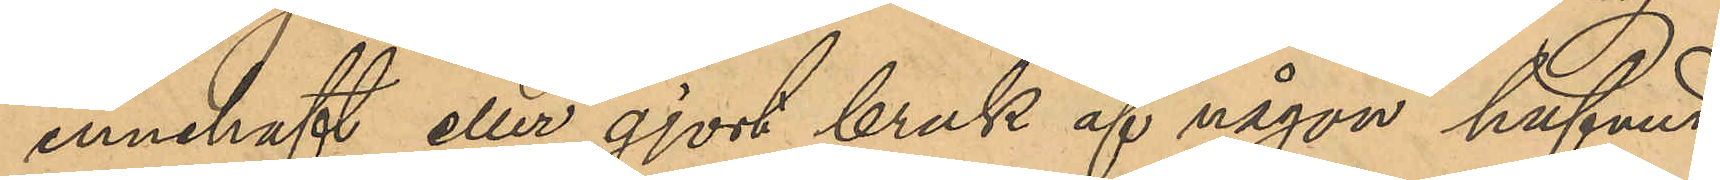innehaft eller gjort bruk af någon hufvud¬
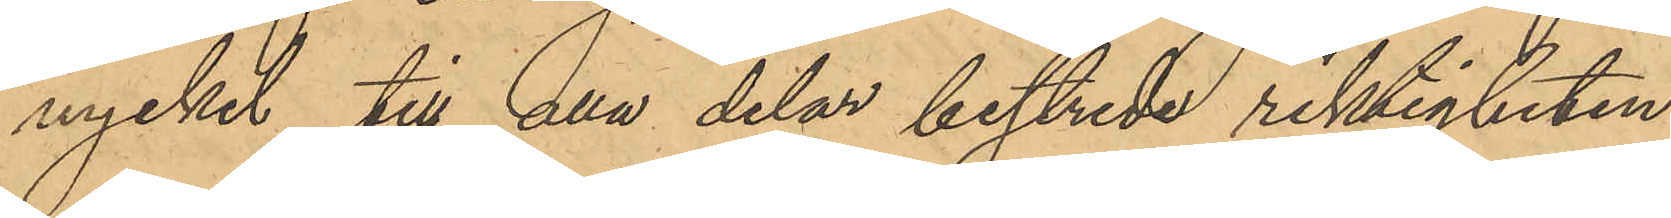nyckel, till alla delar bestrede riktigheten
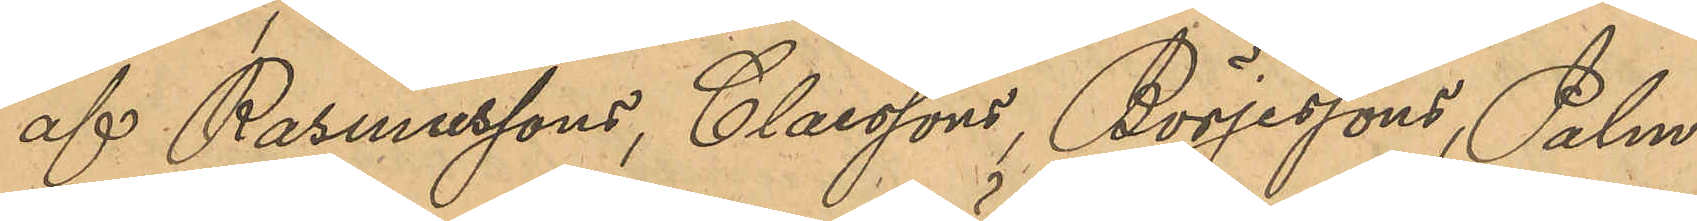af Rasmussons, Claessons, Börjessons, Palm¬
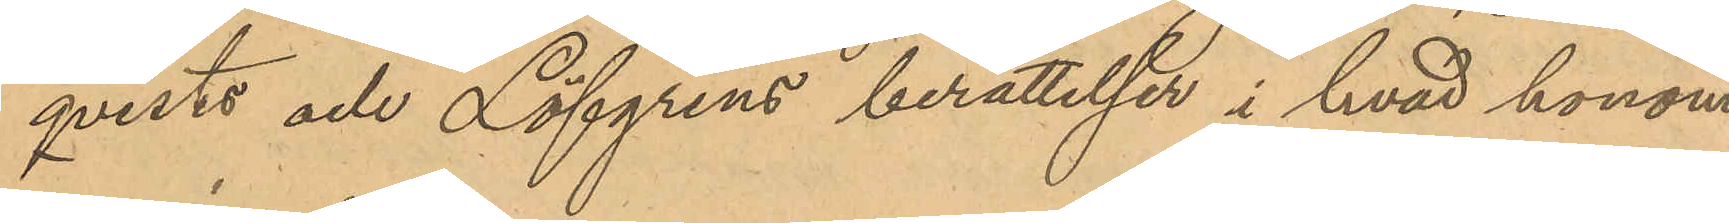qvists och Löfgrens berättelse i hvad honom
